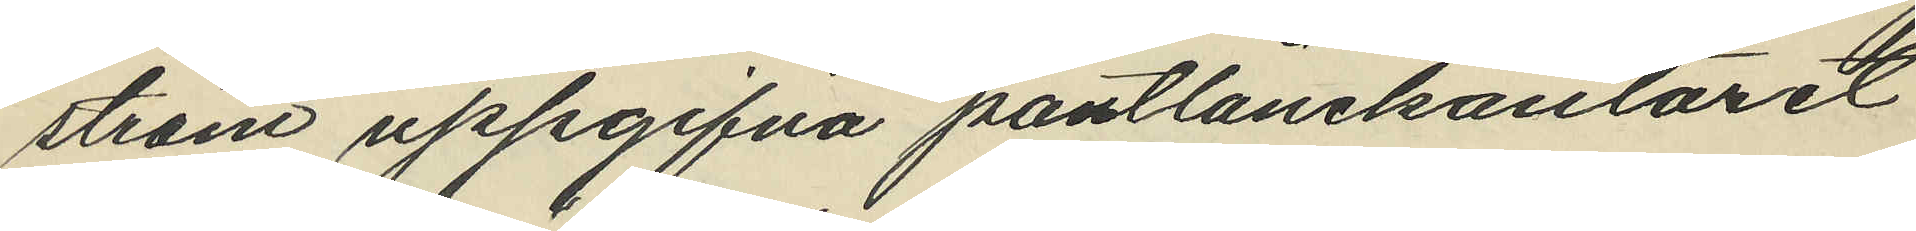ström uppgifna pantlånekontoret
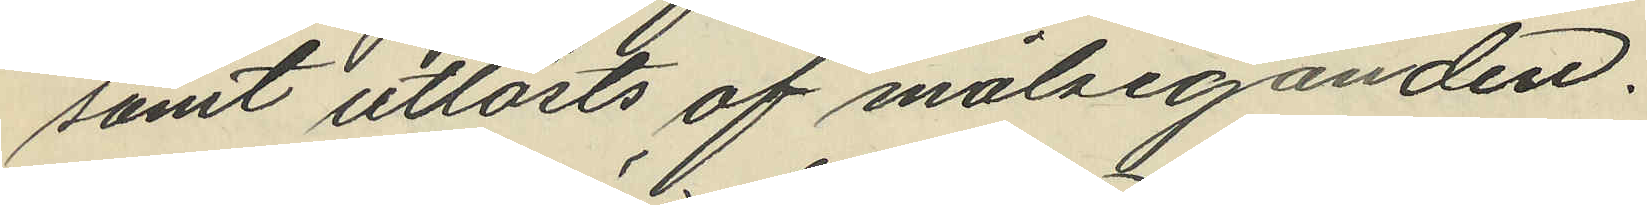samt utlösts af målseganden.
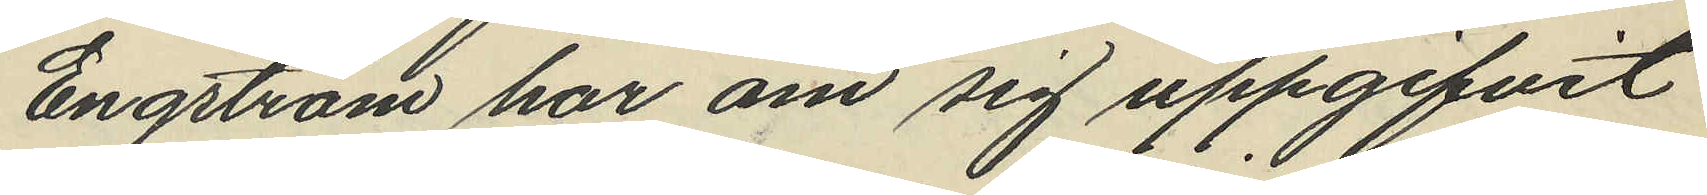Engström har om sig uppgifvit
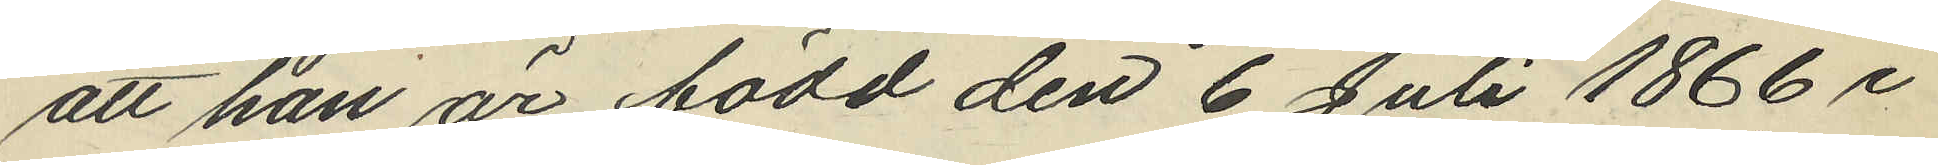att han är född den 6 Juli 1866 i
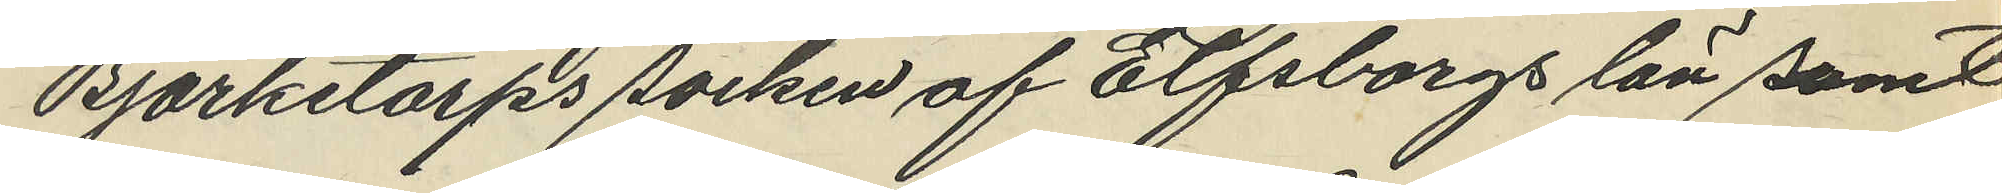Björketorps socken af Elfsborgs län samt
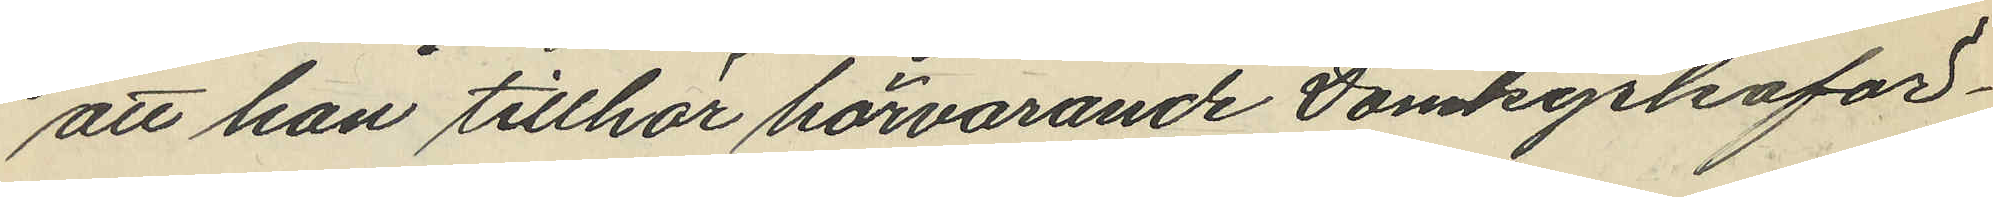att han tillhör härvarande Domkyrkoför¬
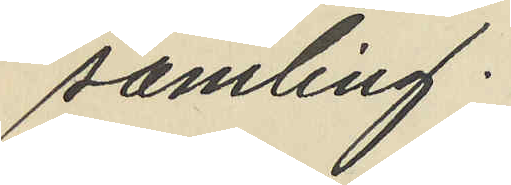samling.
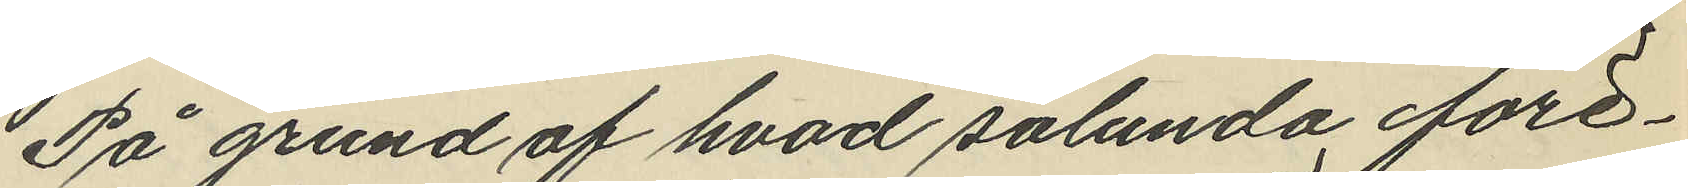På grund af hvad sålunda före¬
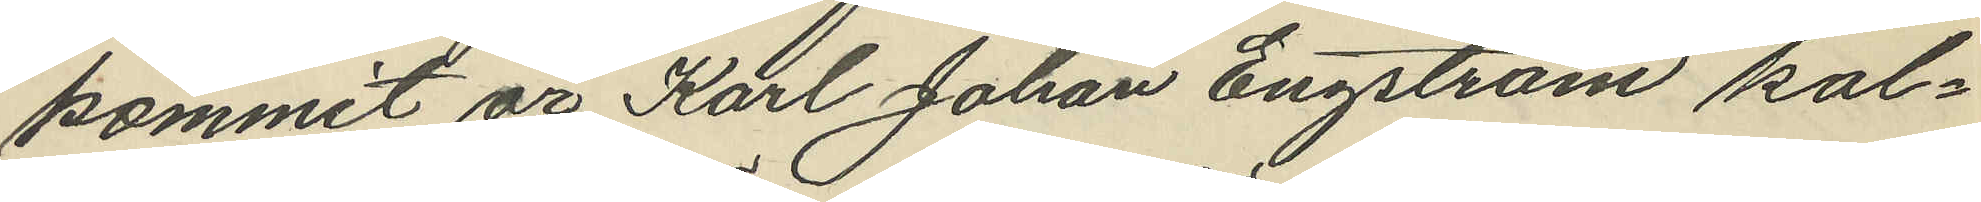kommit är Karl Johan Engström kal¬
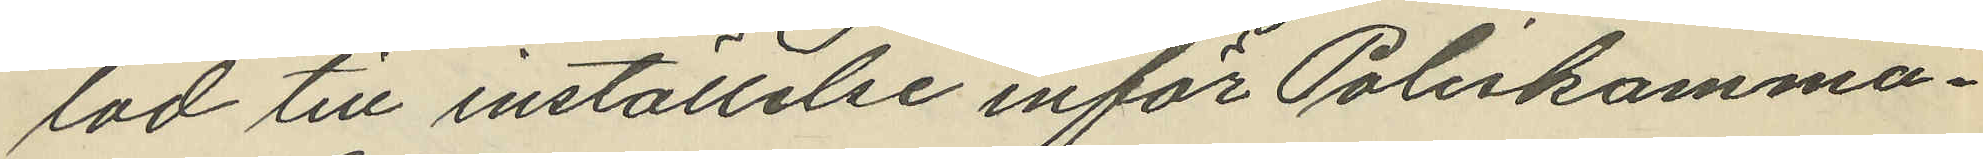lad till inställelse inför Poliskamma¬
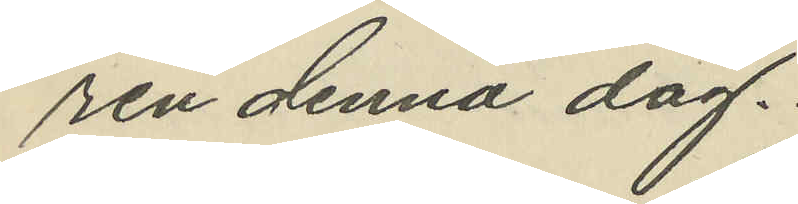ren denna dag.
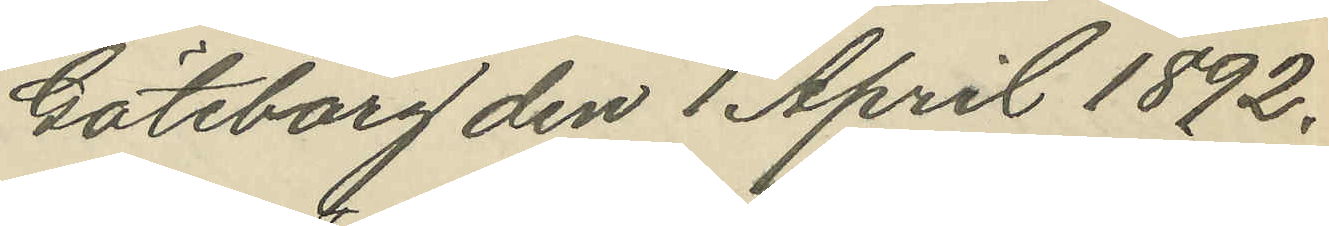Göteborg den 1 April 1892.
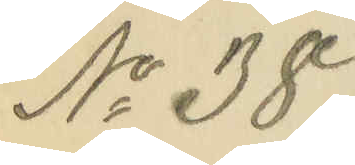No 38.
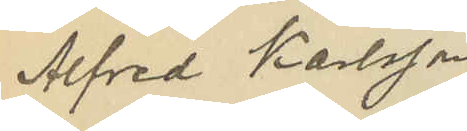Alfred Karlsson
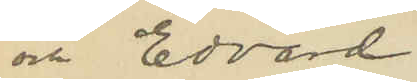och Edvard
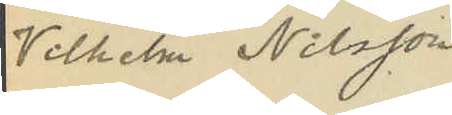Vilhelm Nilsson
